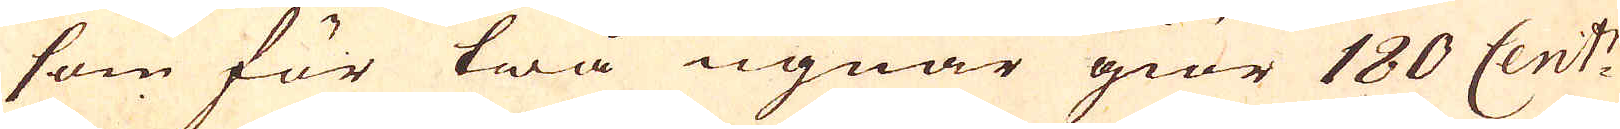som för twå ugnar giör 180 Cent:r
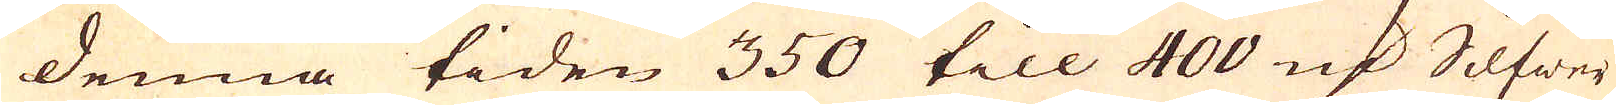denna tiden 350 till 400 marker Silfwer
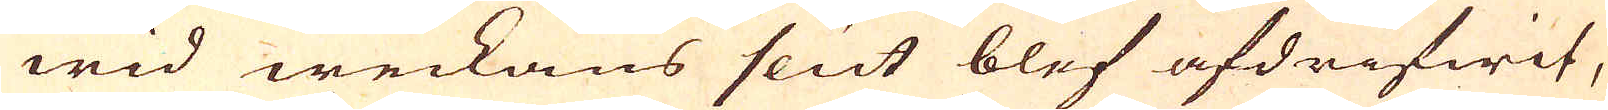wid weckans slut blef afdrifwit,
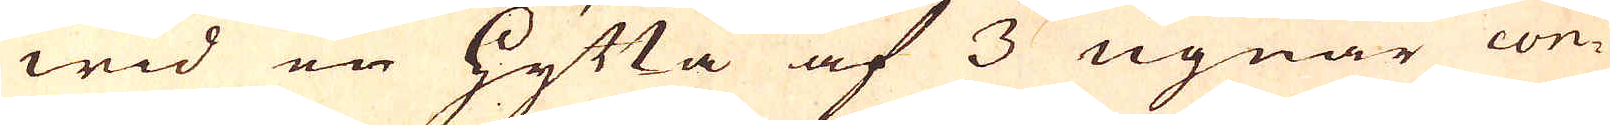wid en hytta af 3 ugnar con-
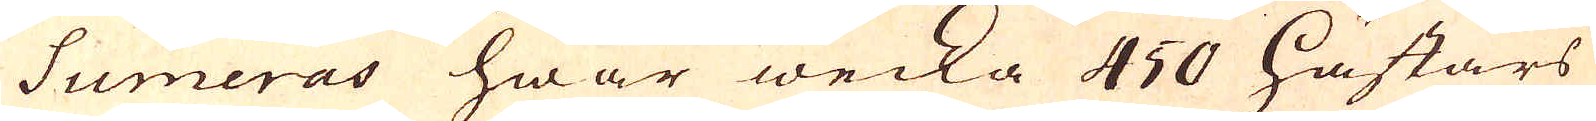sumeras hwar wecka 450 hästars
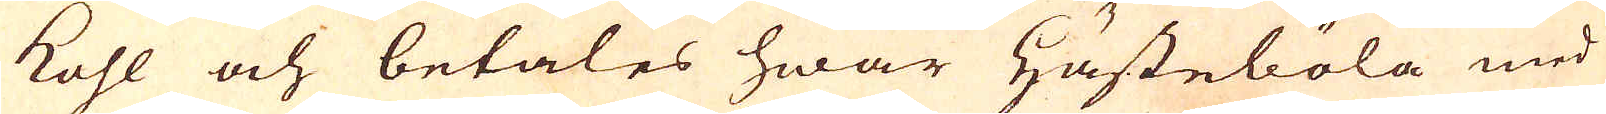kohl och betales hwar hästeböla med
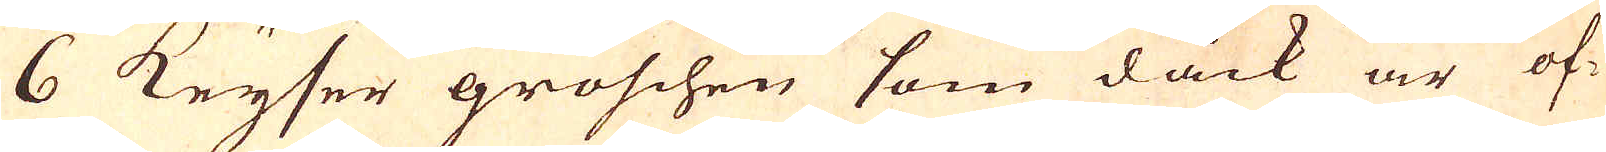6 Keyser groschen som dåck är of-
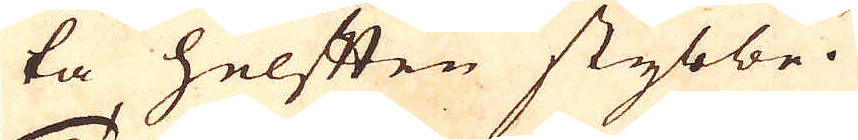ta helften stybbe.
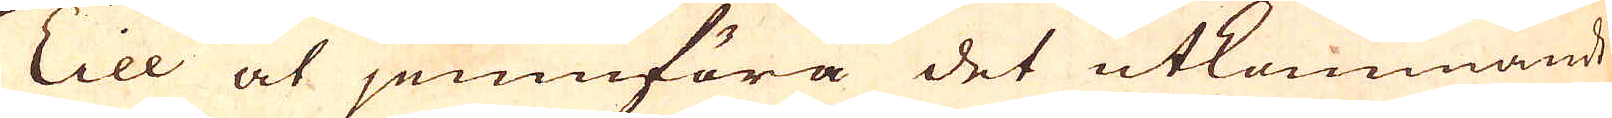Till at jemnföra det utkommande
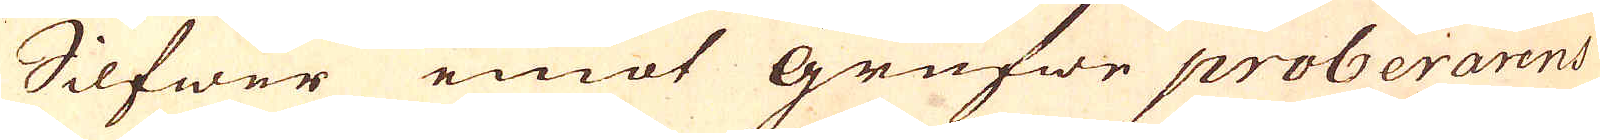Silfwer emot grufwe proberarens
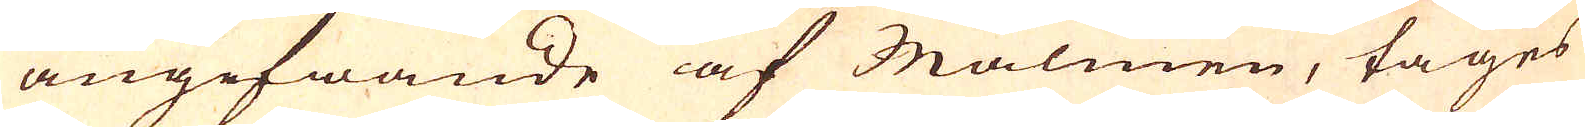angifwande af Malmen, tages
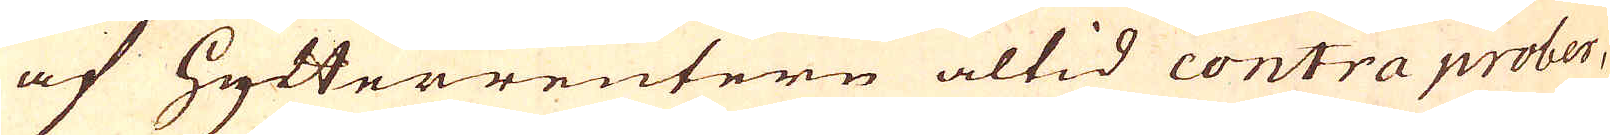af Hytterreutern altid contra prober,
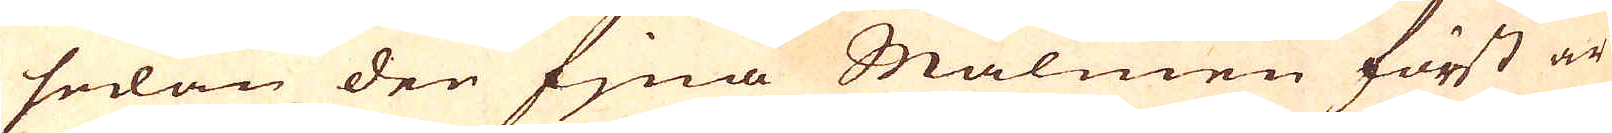sedan den fina Malmen först är
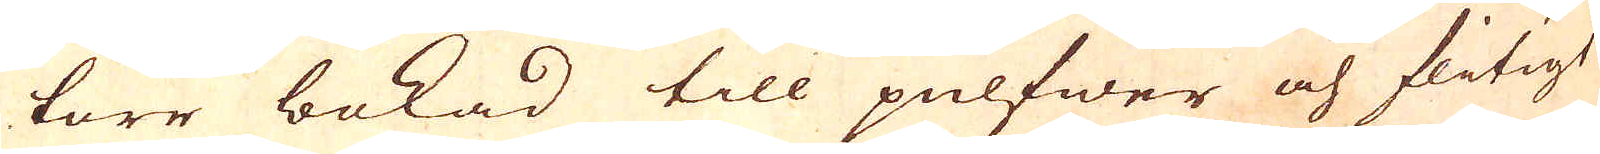torr bokad till pulfwer och flitigt
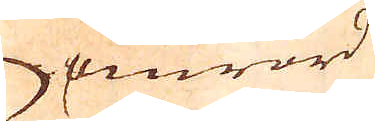omrörd
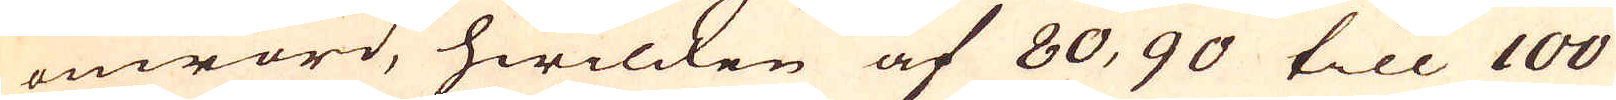omrörd, hwilcken af 80, 90 till 100
